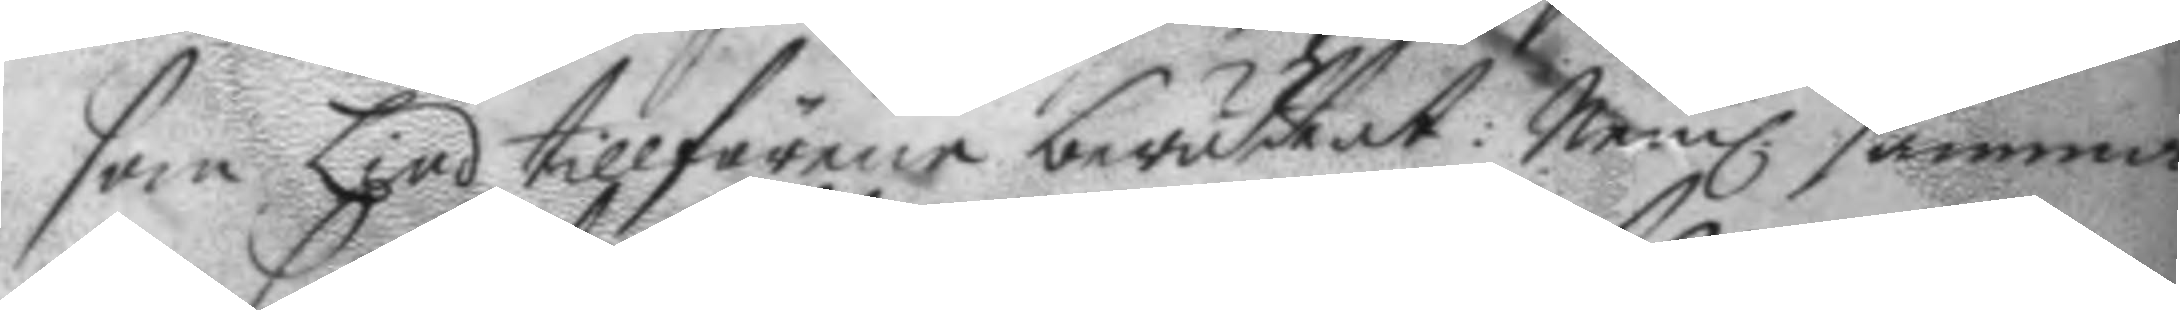som Lind tillförene berättat: Neml. samma
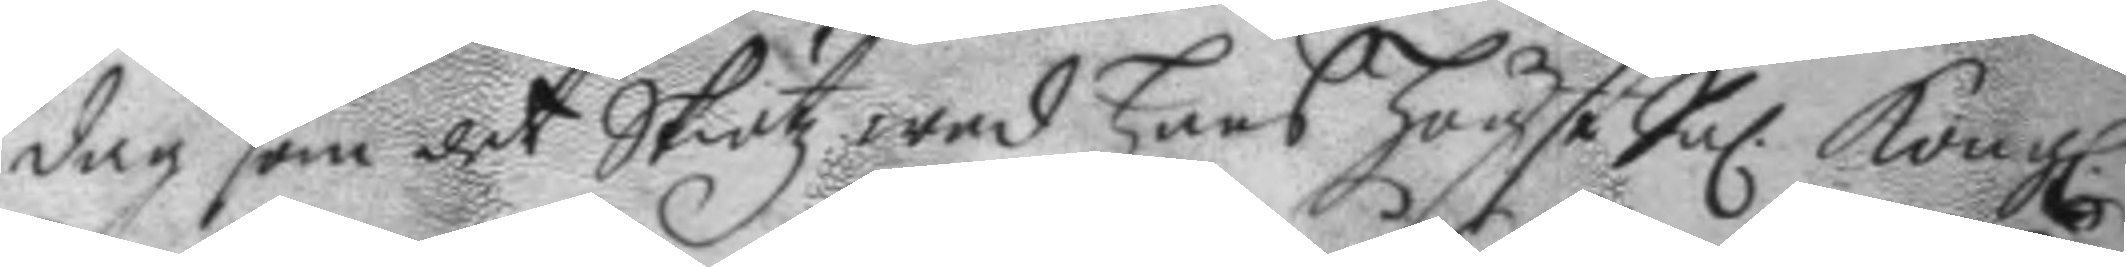dag som det Skötz wed hans högst Sal. Kongl. 
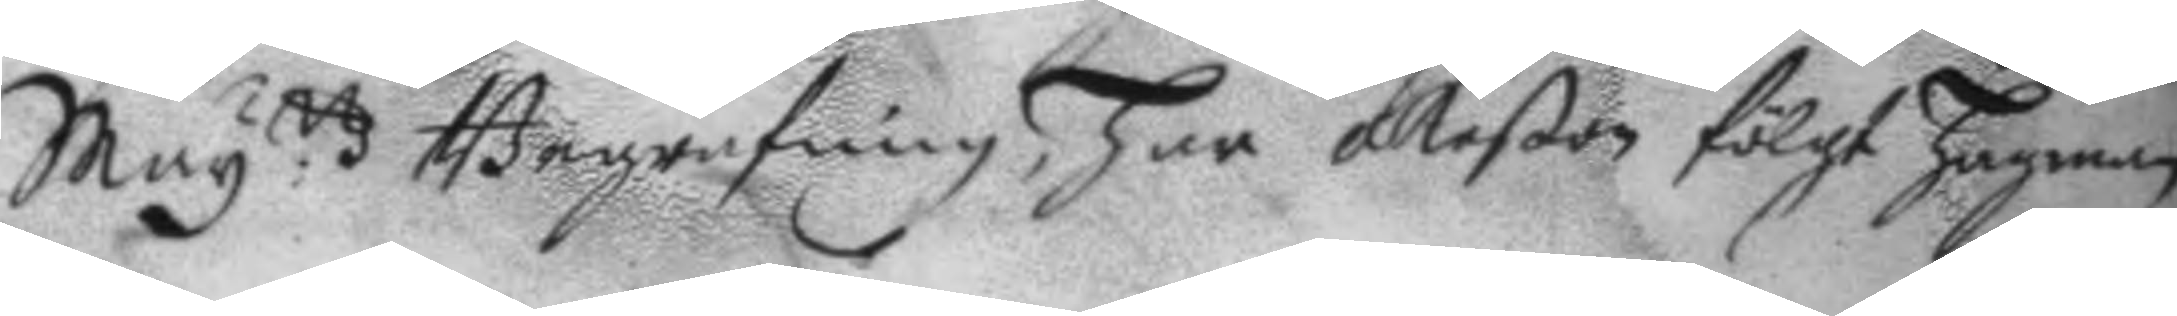May:ttz Begrafning, har åkeßon fölgt Hagman
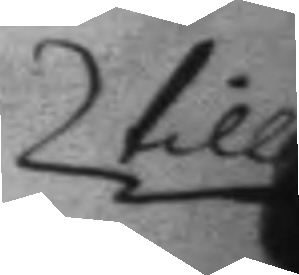till
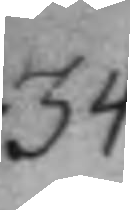34.
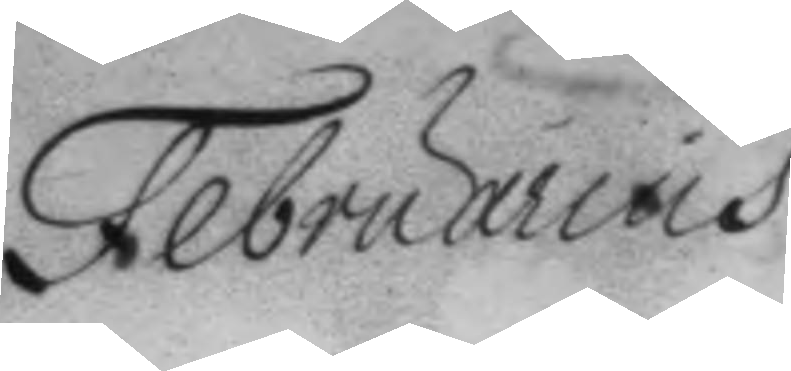Februarius
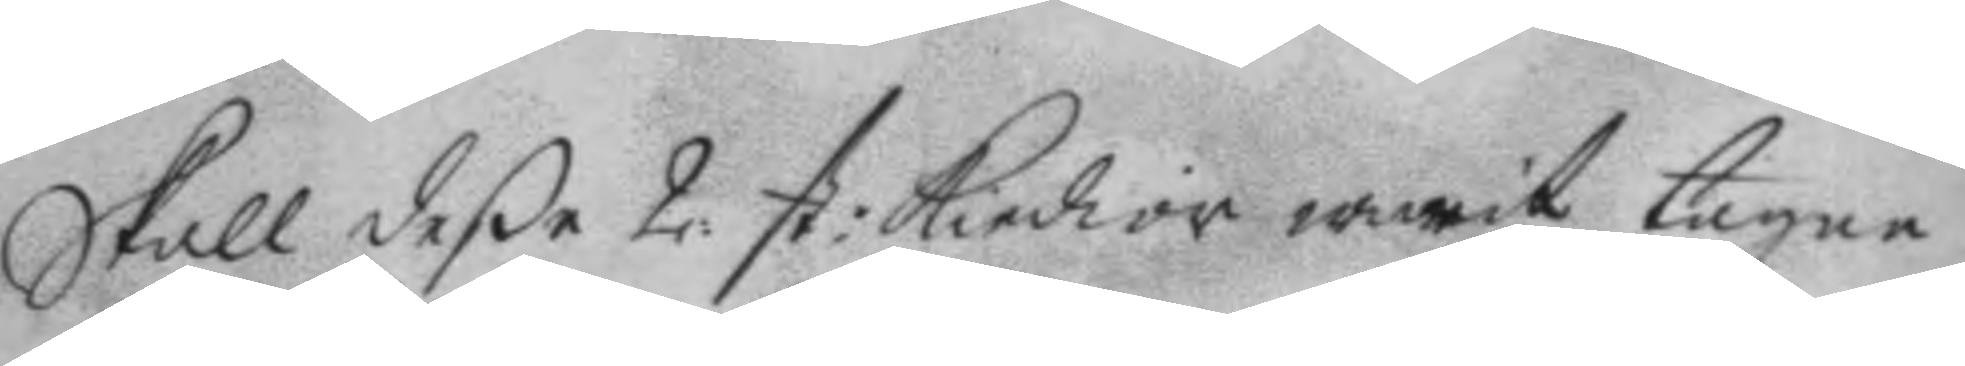Skall deße 2: st: Kiedior warit tagne
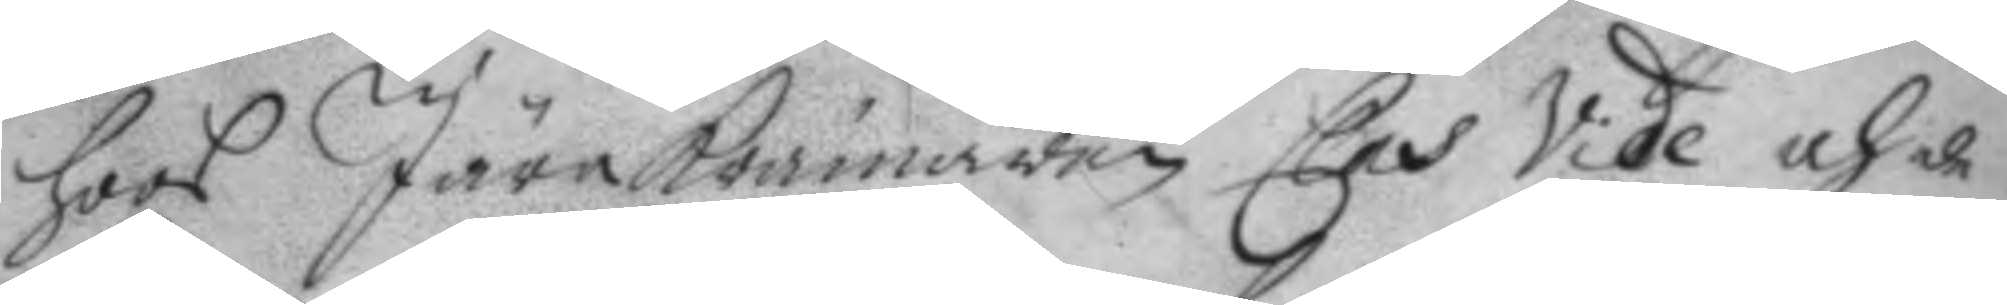hoos JärnKrämaren Clas Vide och de
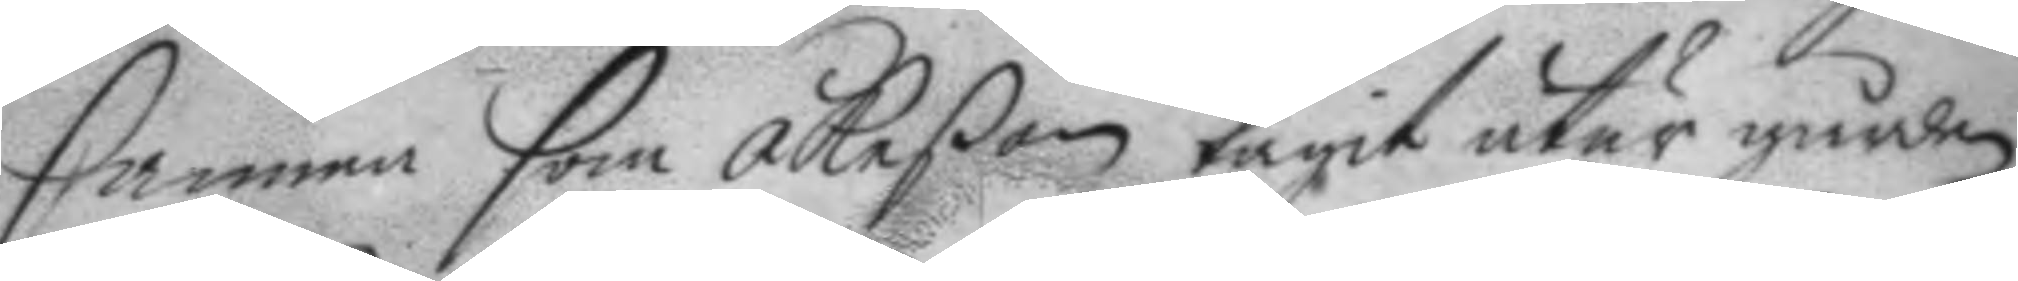samma som Åkeßon tagit utur gården
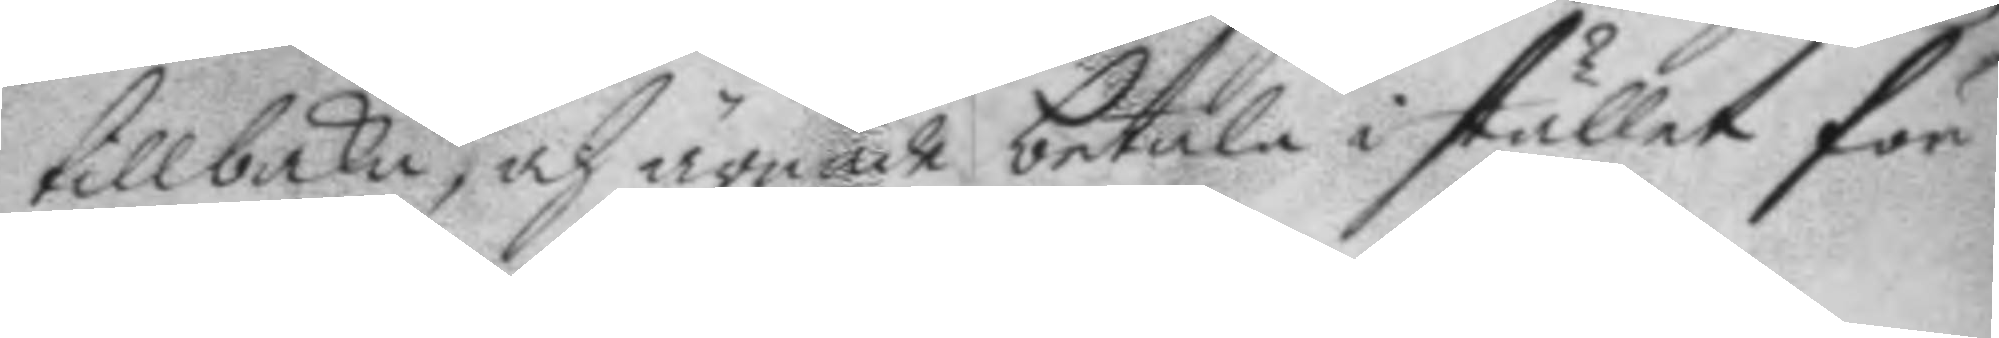tillbaka, och ärnade betala i stället för
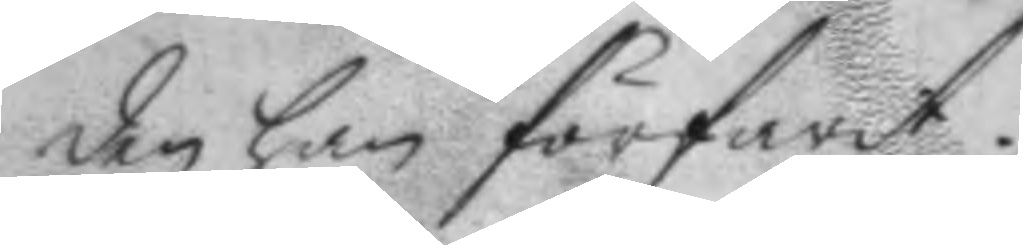den han förfarit,
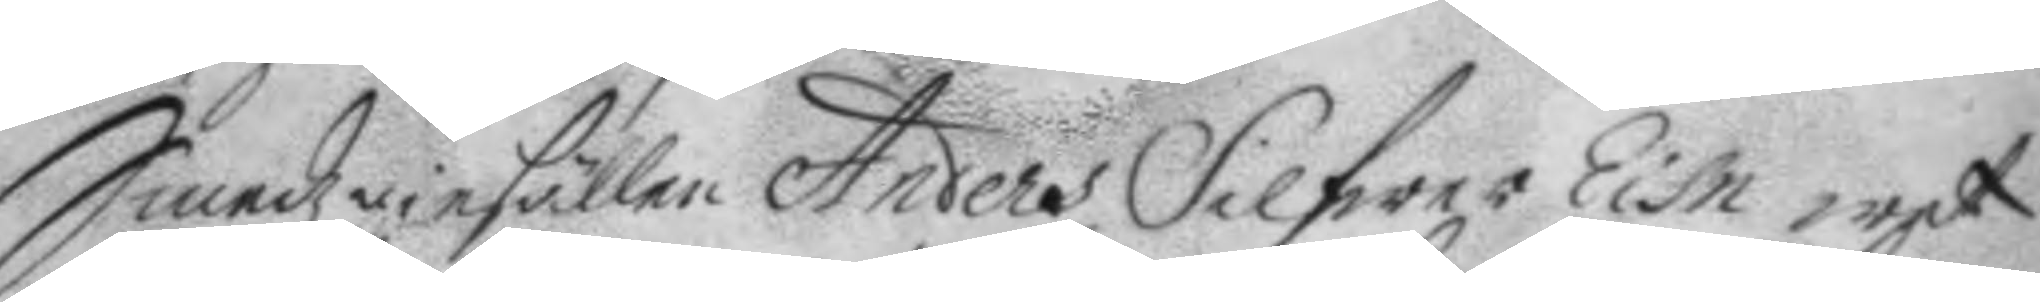Smedzgiesällen Anders Silfwer Eisn wet
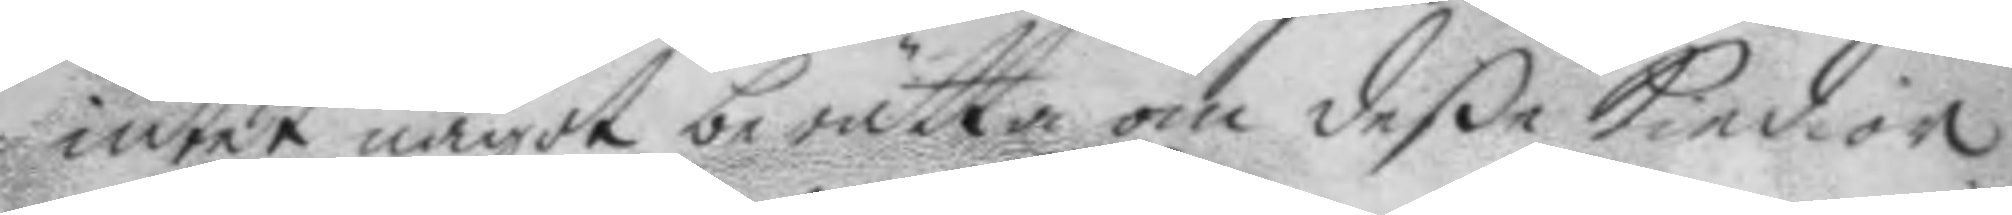intet något berätta om deße Kiedior
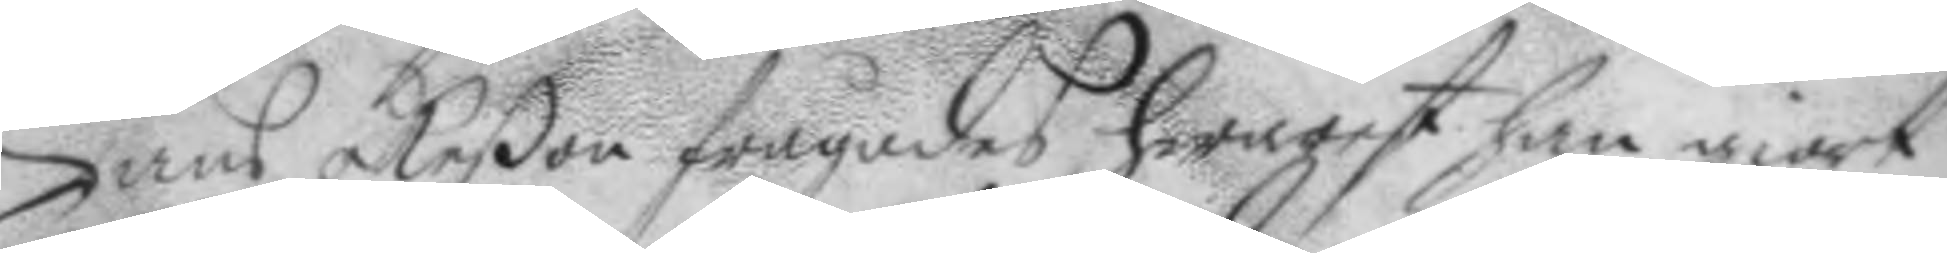Hans åkeßon frågades hwarest han giort
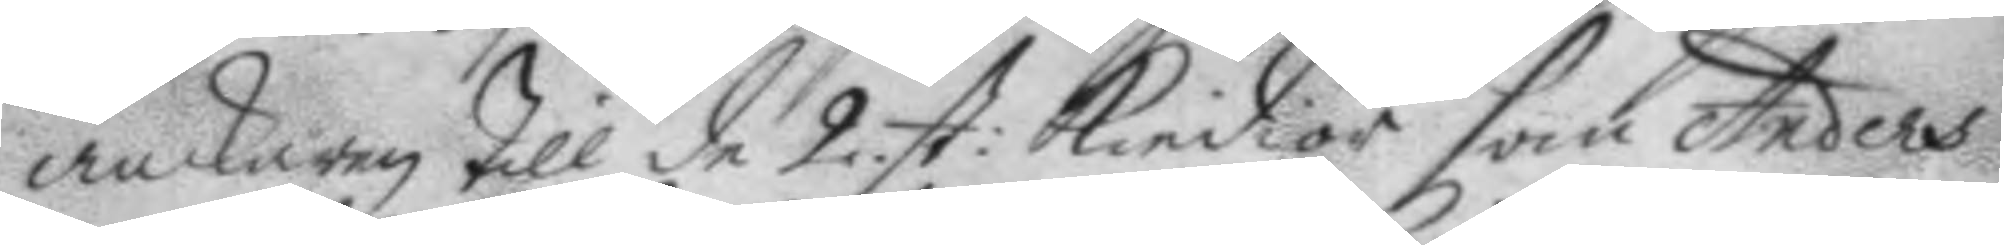anckaren till de 2. st. Kiedior som Anders
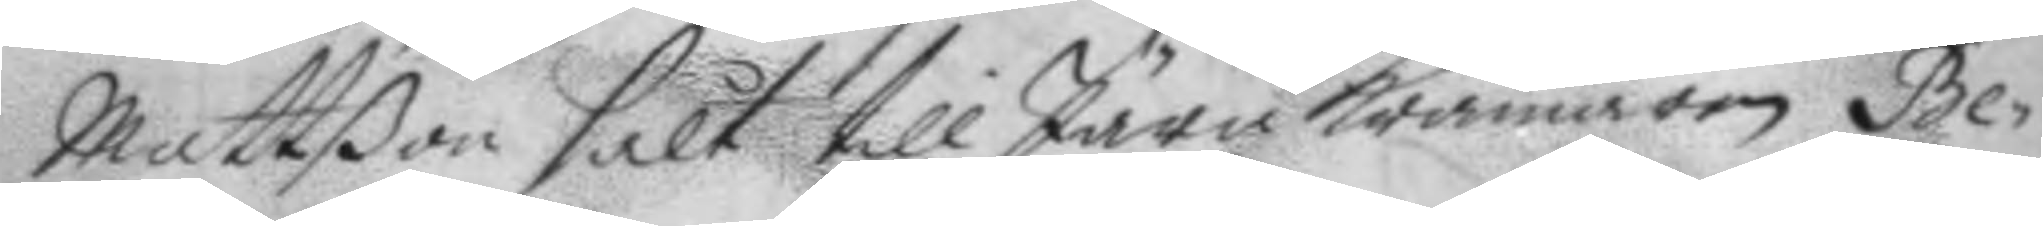Mattßon sålt till Järn Krämaren Be¬
